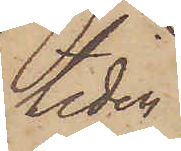tiden
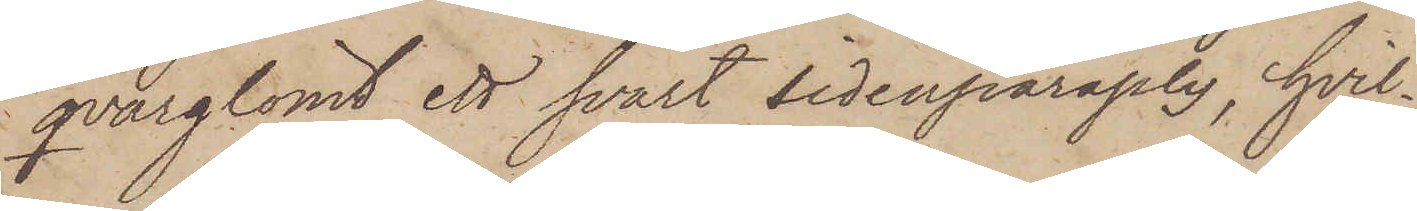qvarglömt ett svart sidenparaply, hvil¬
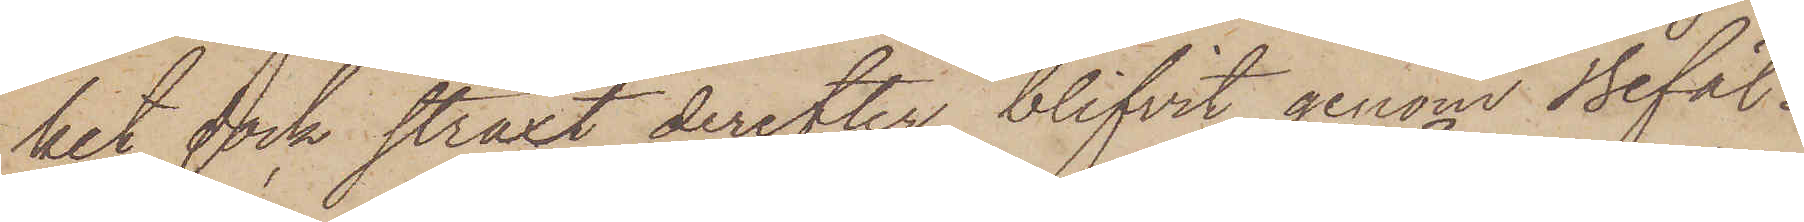het dock straxt derefter blifvit genom befäl¬
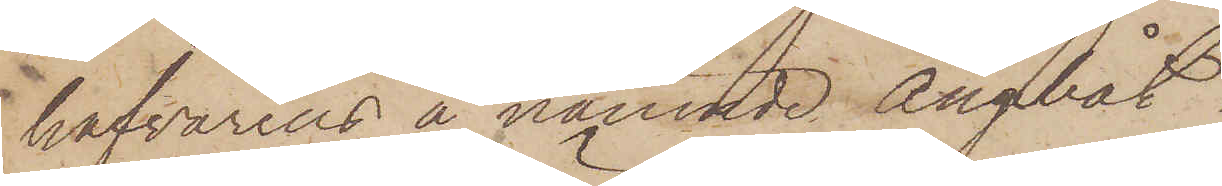hafvarens å nämnde ångbåt
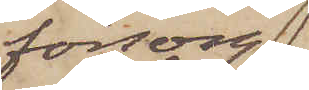försorg
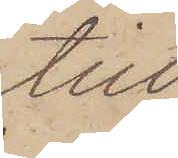till
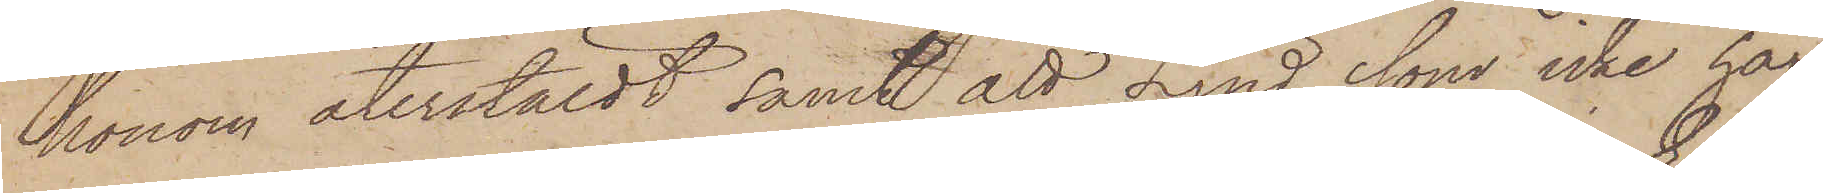honom återstäldt samt att Lind, som icke har
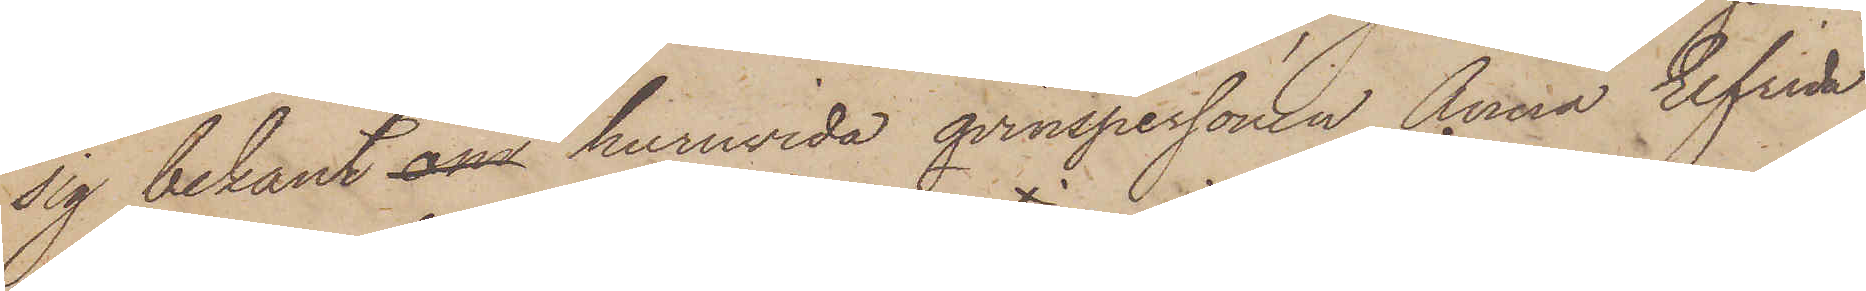sig bekant om huruvida qvinspersonen Anna Elfrida
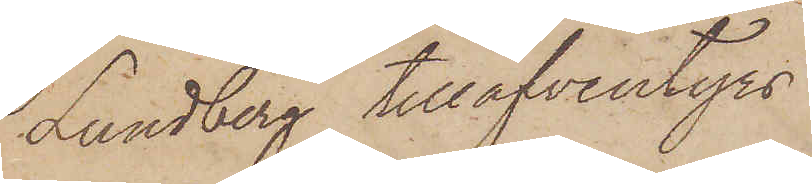Lundberg tilläfventyrs
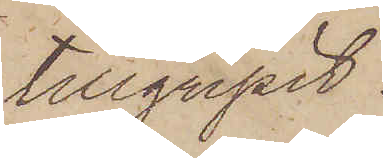tillgripit
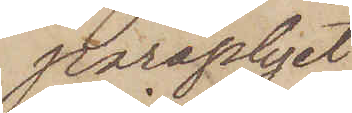parapliyet
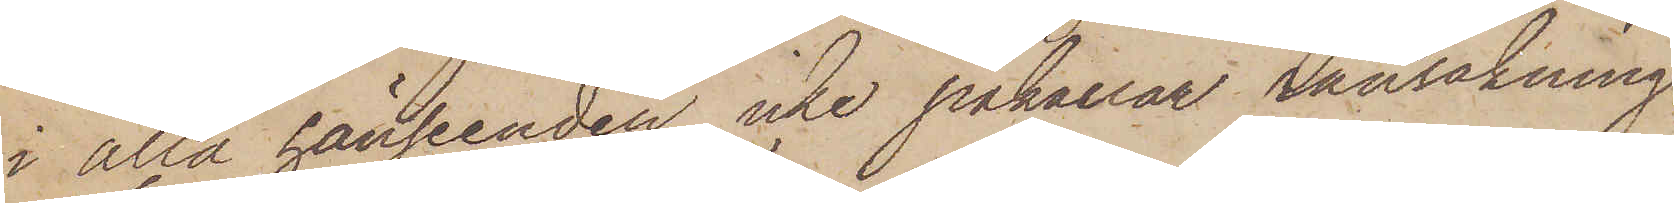i alla hänseenden icke påkallar ransakning
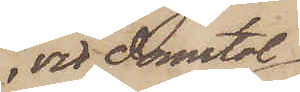vid Domstol
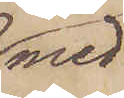med
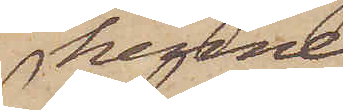henne
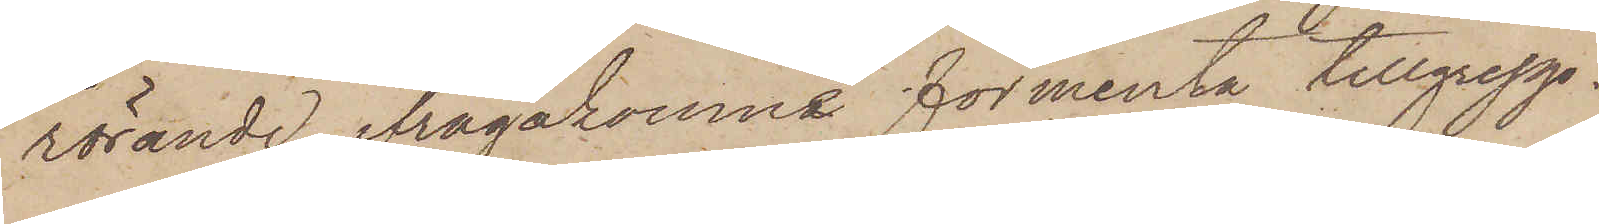rörande ifrågakomne förmenta tillgrepp.
